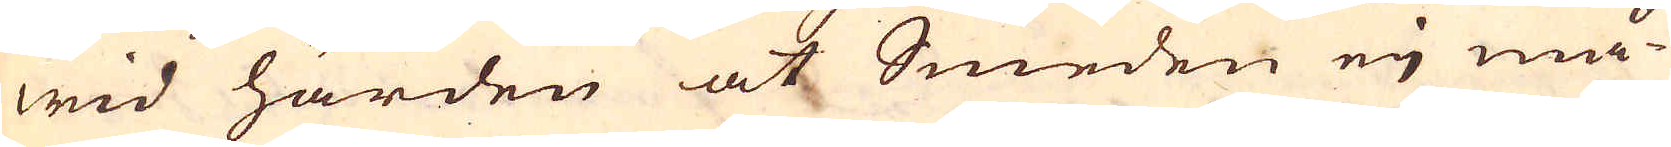wid härden at Smeden eij må
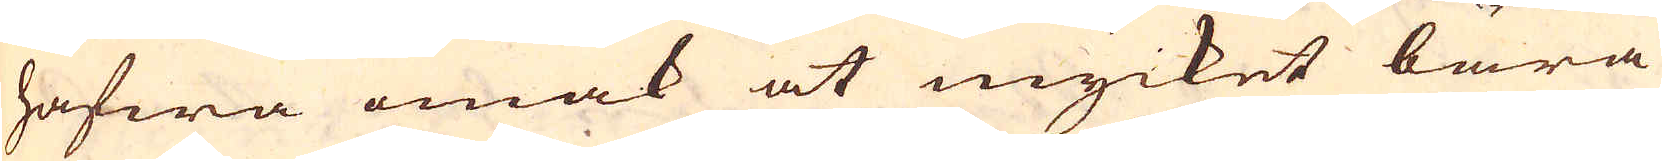hafwa omak at mycket bära
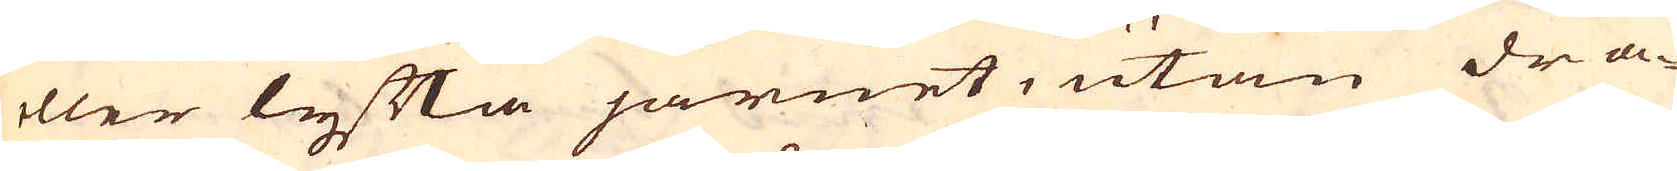eller lyfta järnet, utan dra-
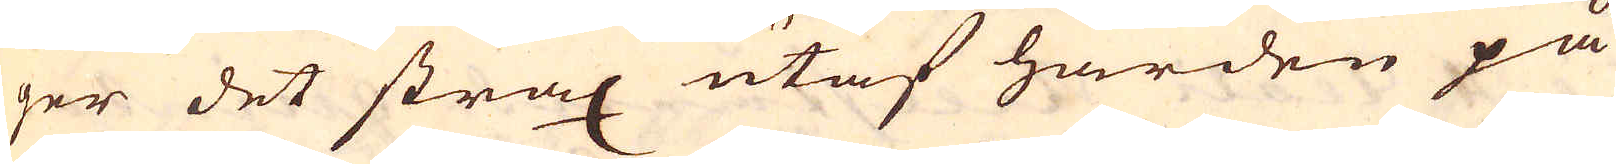ger det strax utaf härden på
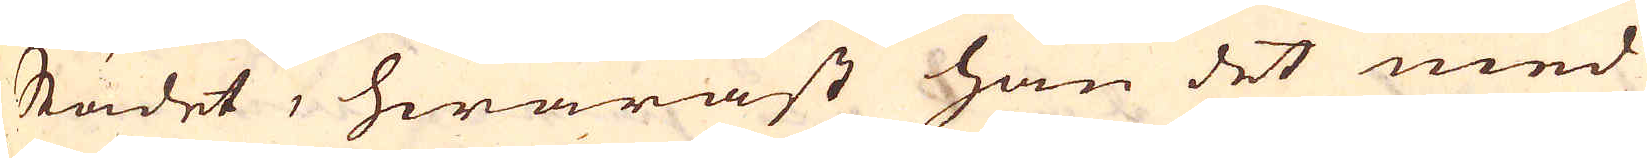Städet, hwaräst han det med
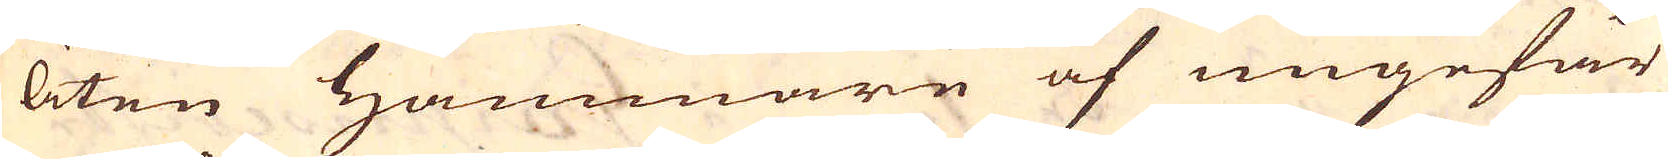liten Hammare af ungefär
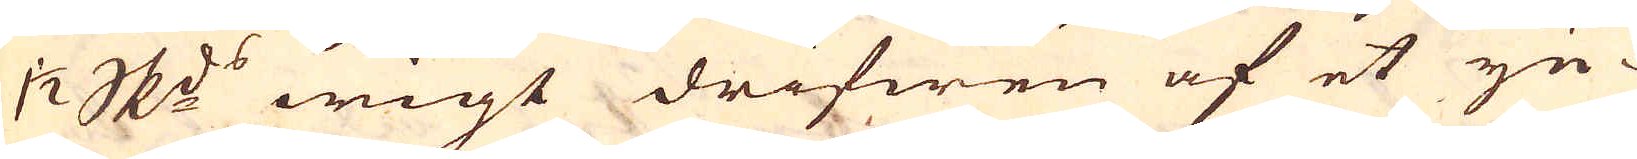1 1/2 skeppunds wigt drifwen af et yn-
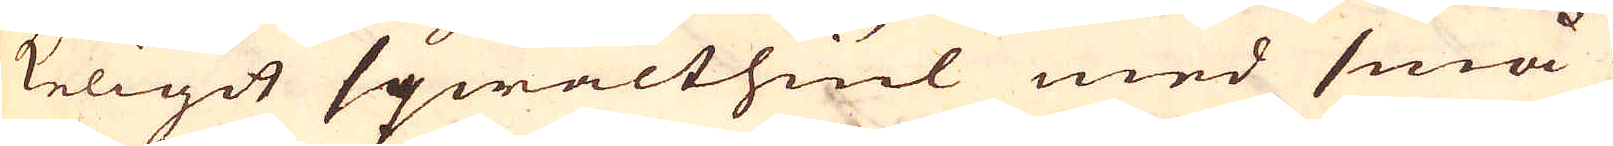keligit sqwalthiul med små
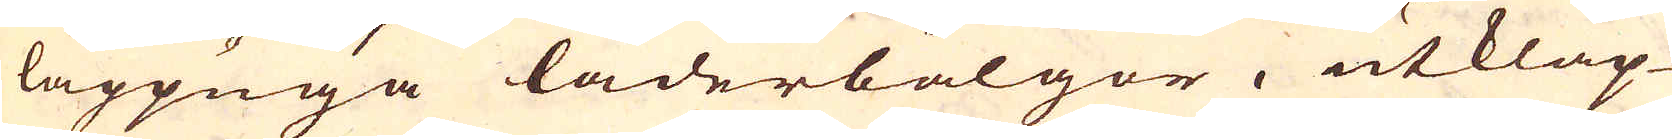lappuga läderbälgor, utklap-
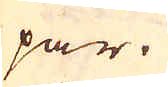par.
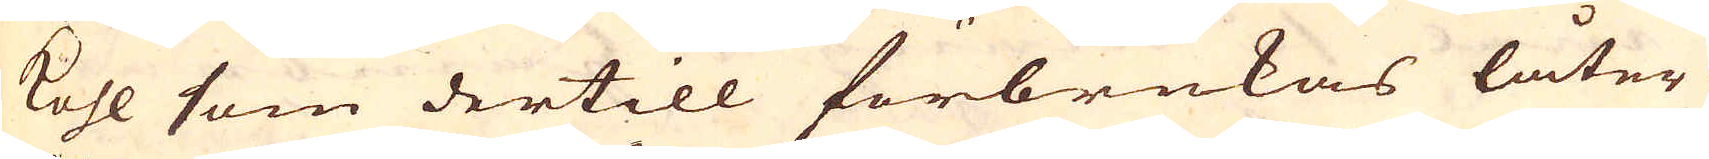Kohl som dertill förbrukas låter
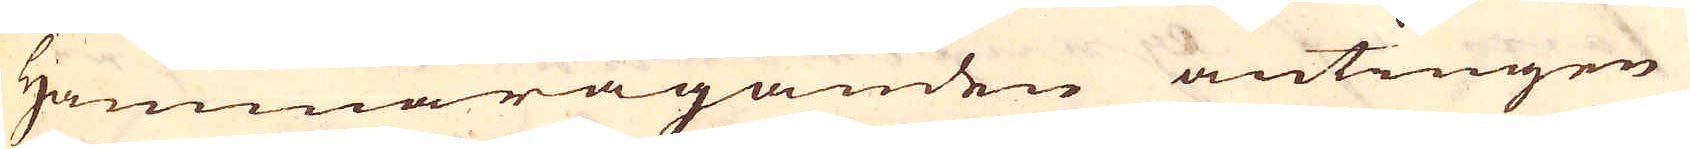Hammaräganden antingen
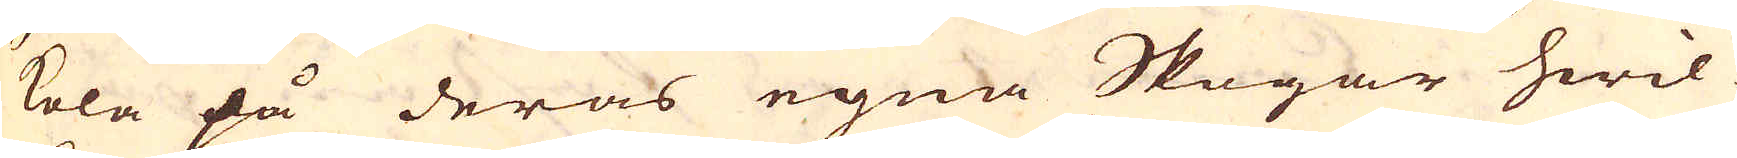kola på deras egna Skogar hwil-
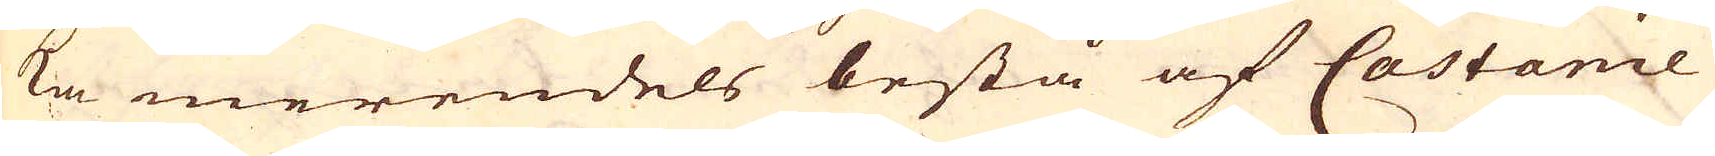ka merendels bestå af Castanie
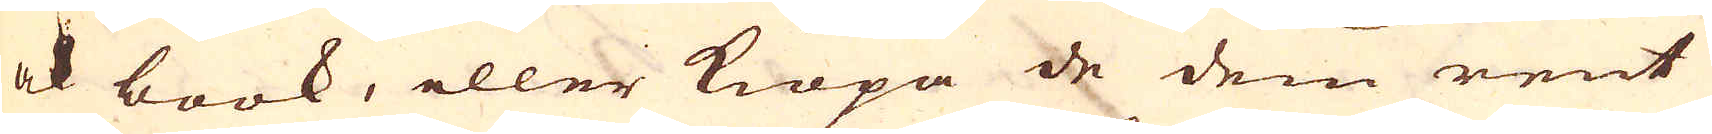ock book, eller kiöpa de dem rent
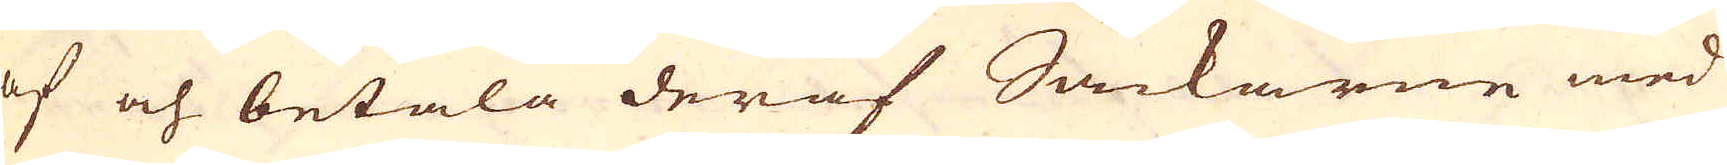af och betala deraf Säckarne med
